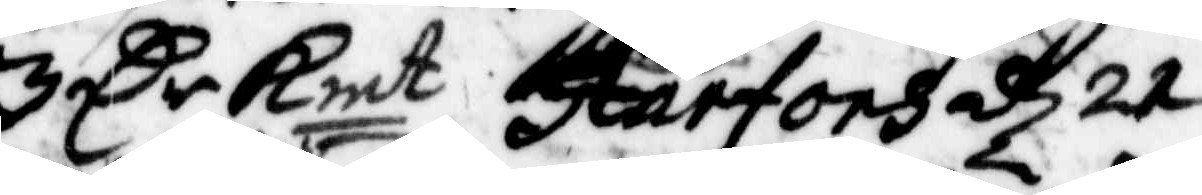3 Cr Kmt Harfors d 21
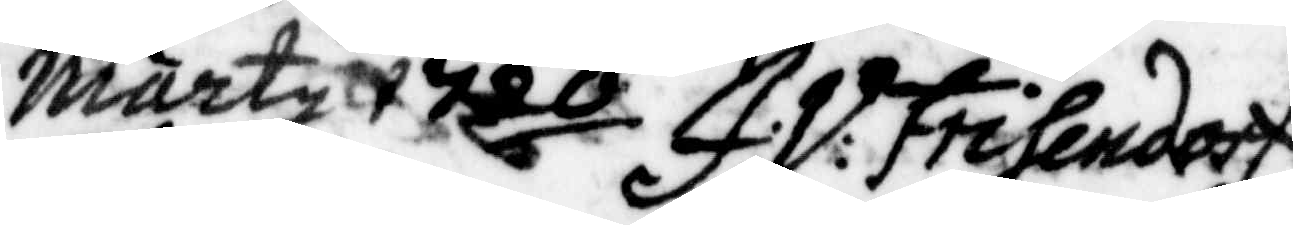Marty 1720 J: V: Frisendorf
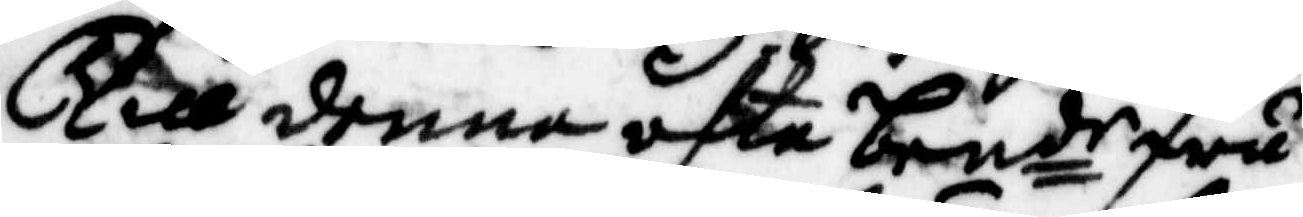Till denne ofta bende fru
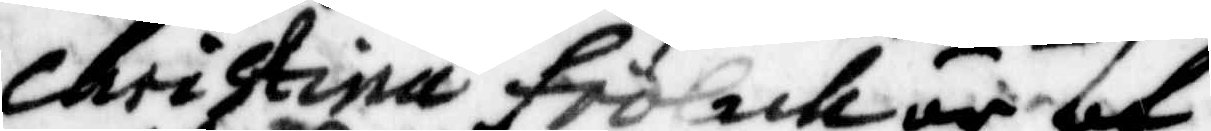Christina frölich är af
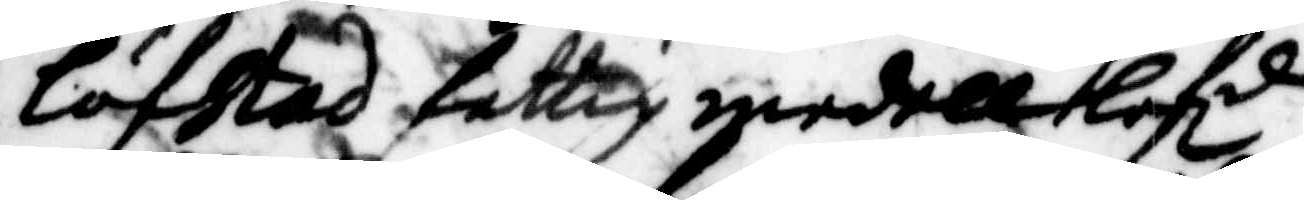Löfstad fattigmedell lofd
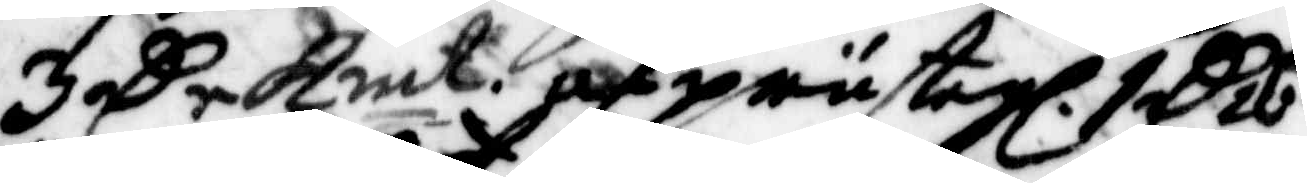3 Cr Kmt af prästegl. 1 C 26
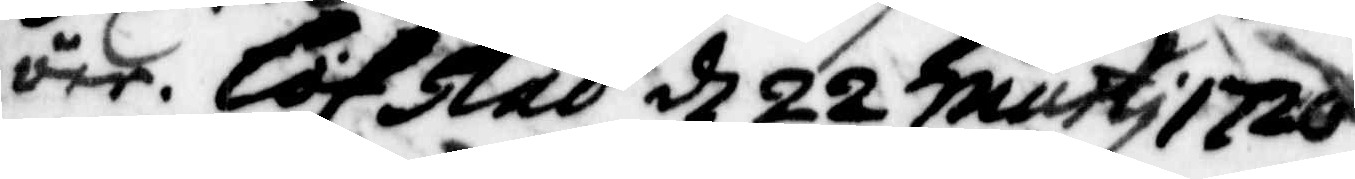öre. Löfstad d 22 marti 1720
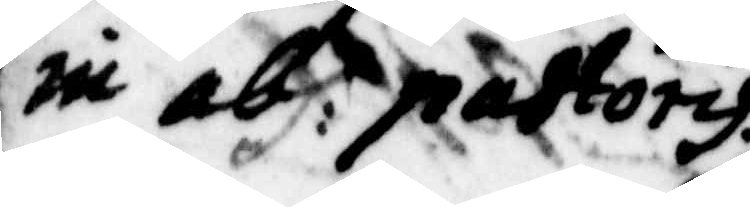in abs: pastoris.
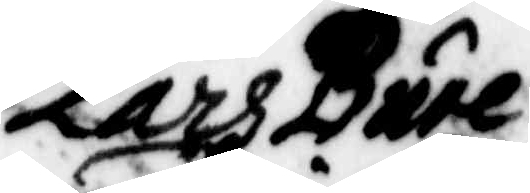Lars Bure
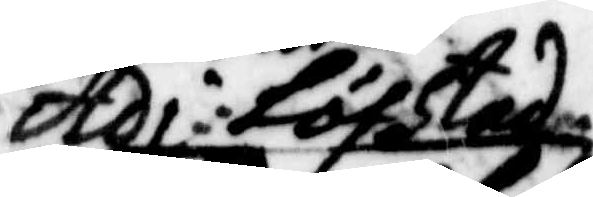Adi: Löfstad
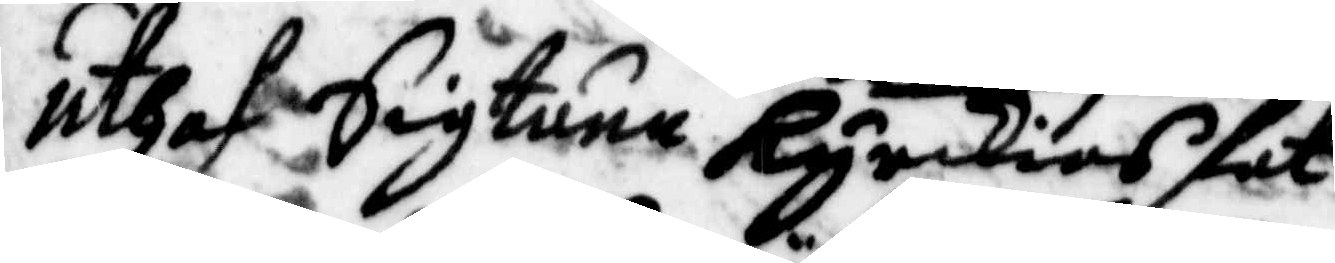Uthaf Sigtuna Kyrkias fat¬
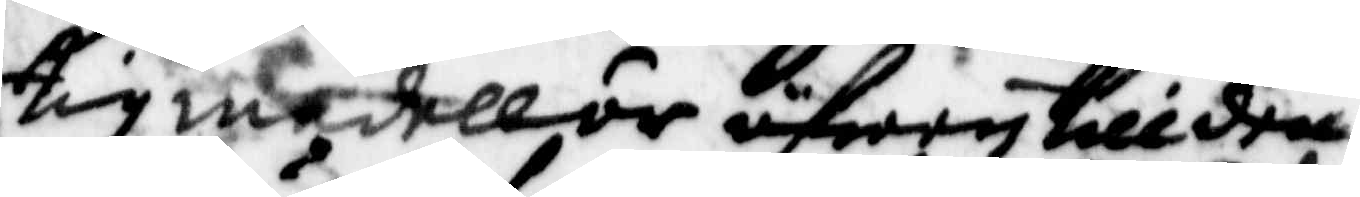tigmedell är äfwen till den¬
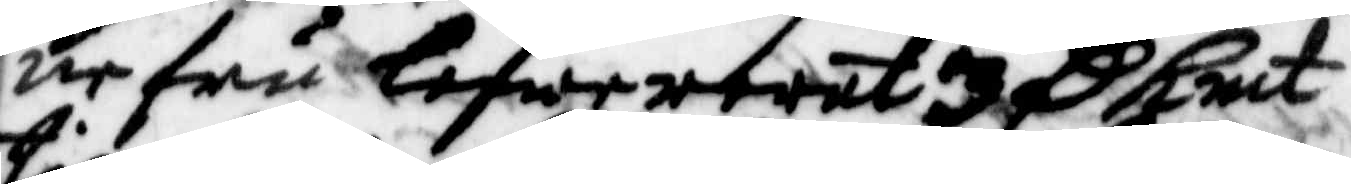ne fru lefwererat 3 C Kmt
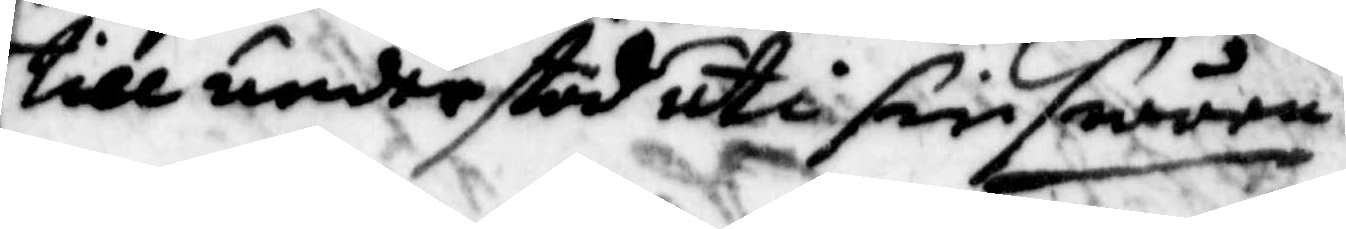till understöd uti sin swåra
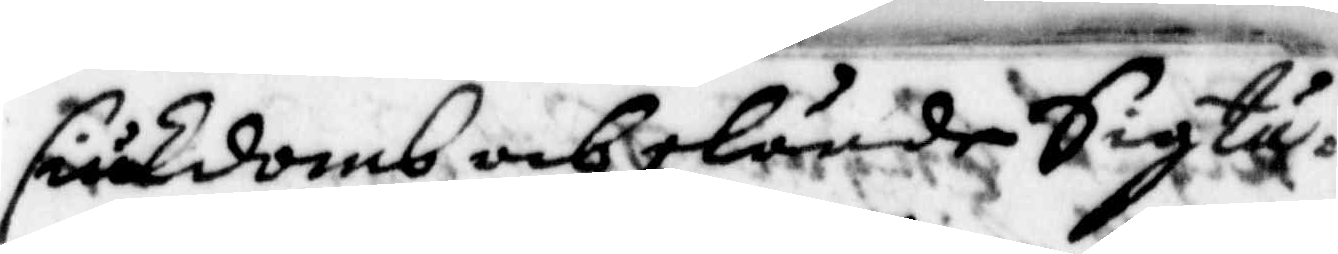siukdomb och elände Sigtu¬
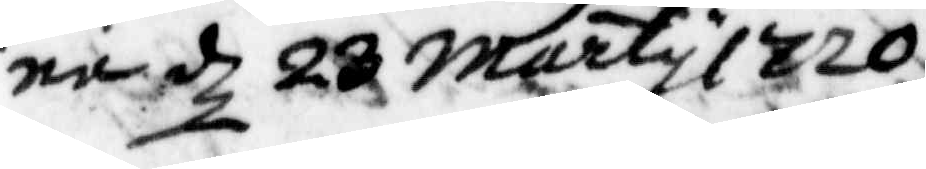na d 28 marty 1720
